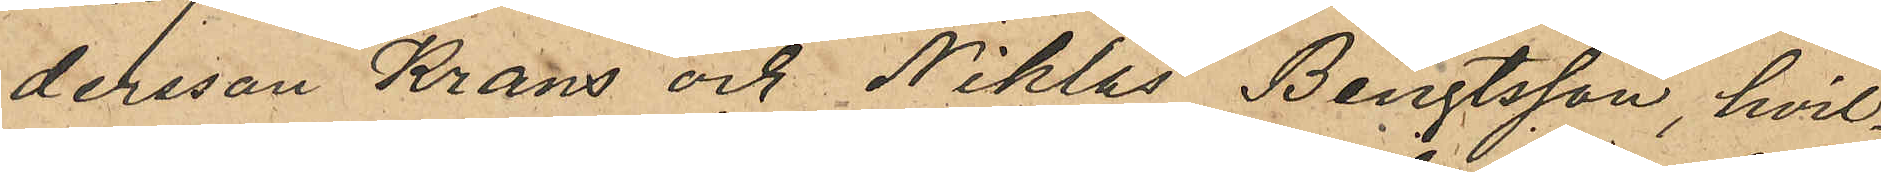dersson Krans och Niklas Bengtsson, hvil¬
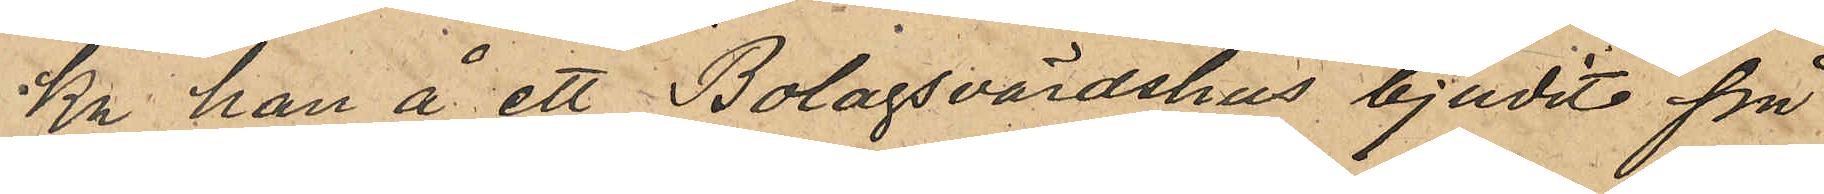ka han å ett Bolagsvärdshus bjudit på
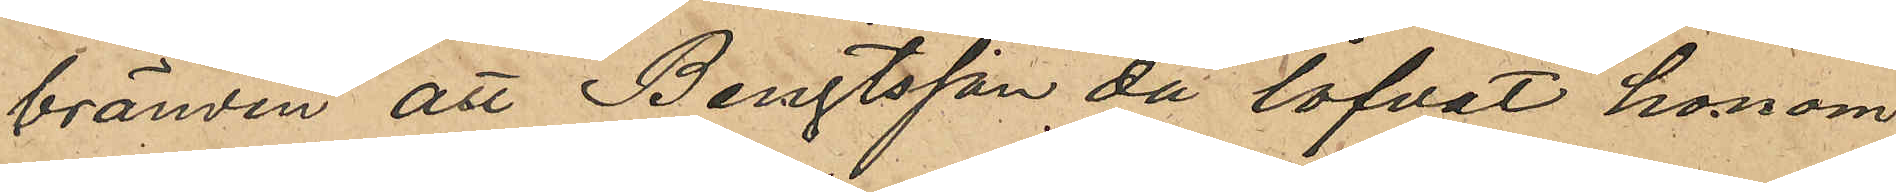bränvin att Bengtsson då lofvat honom
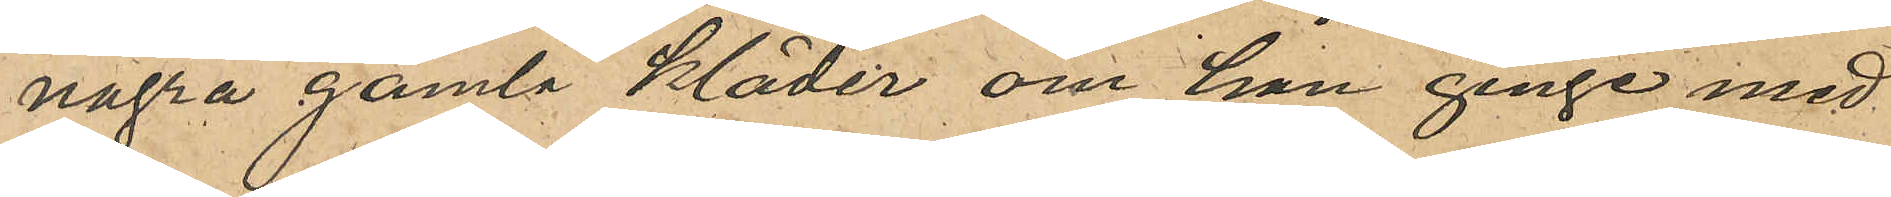några gamla kläder om han ginge med
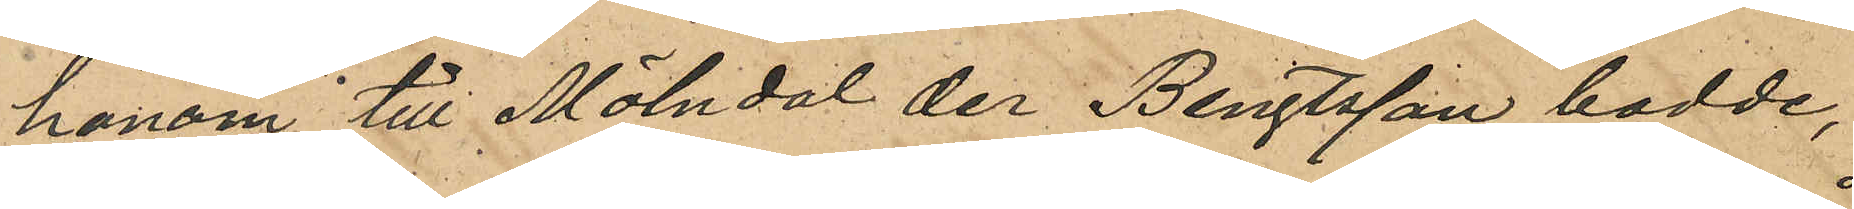honom till Mölndal der Bengtsson bodde,
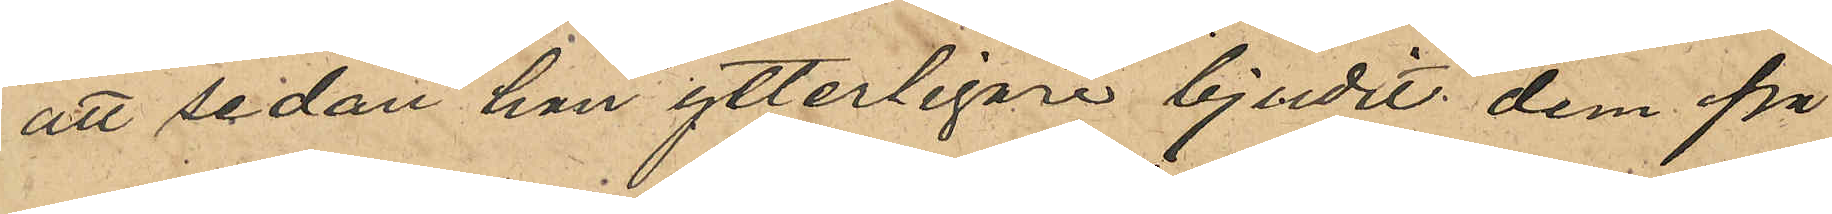att sedan han ytterligare bjudit dem på
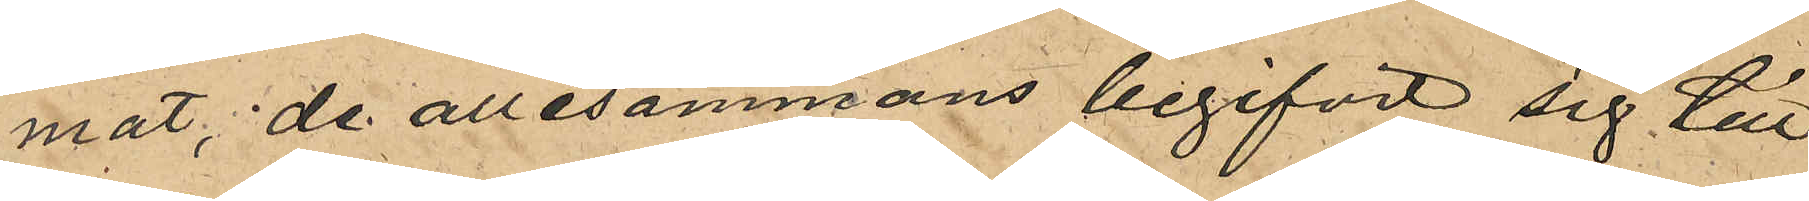mat, de allesammans begifvit sig till
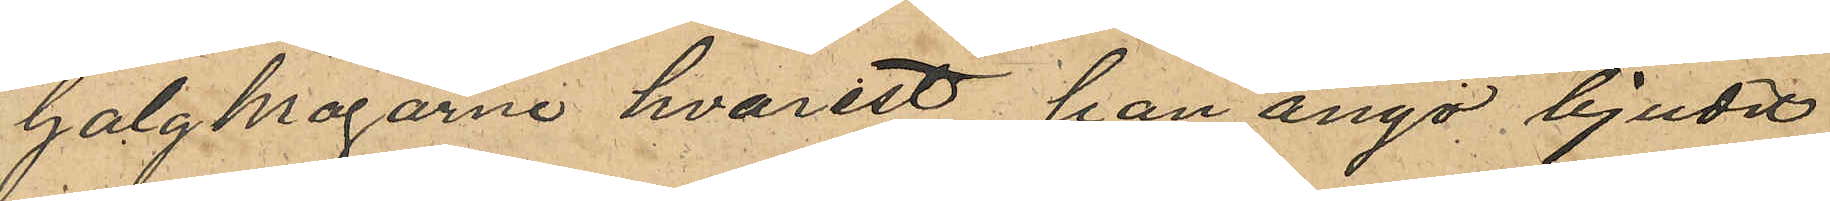Galgkorgarne hvarest han ånyo bjudit
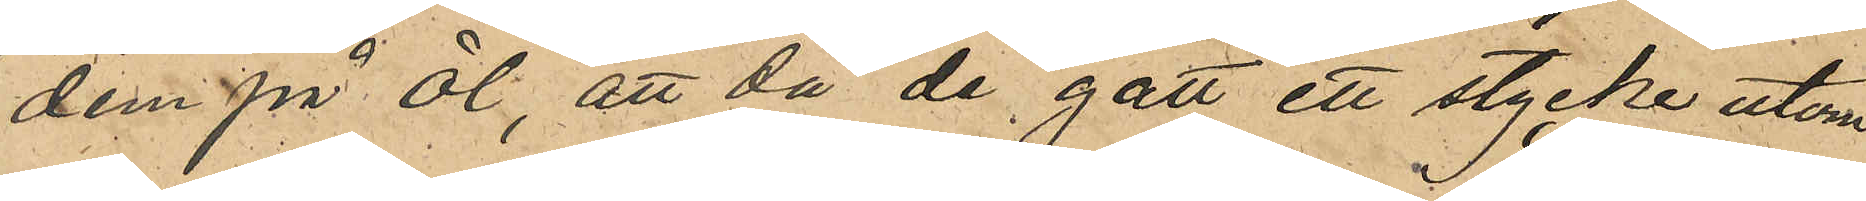dem på öl, att då de gått ett stycke utom
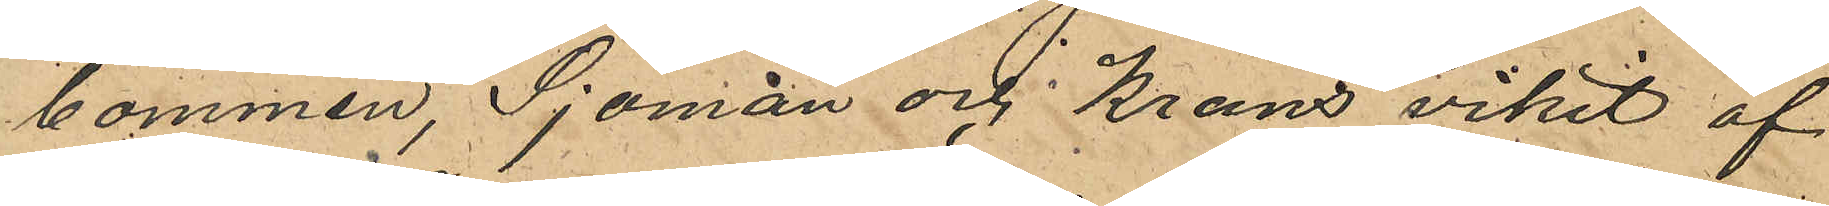bommen, Sjöman och Krans vikit af
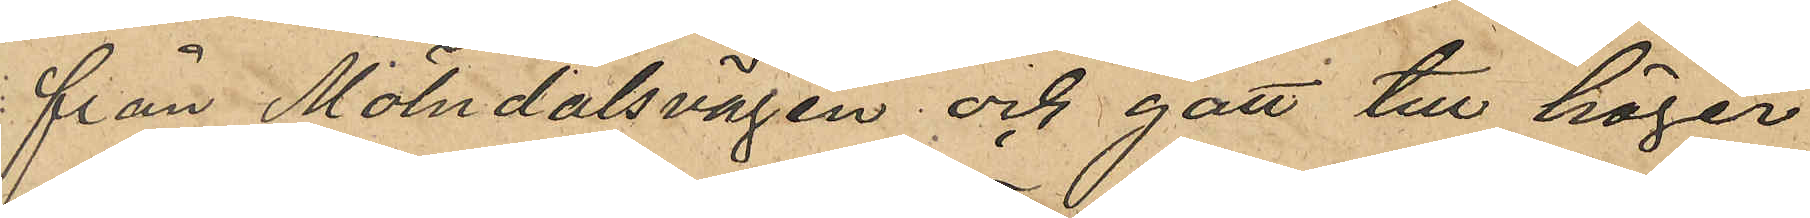från Mölndalsvägen och gått till höger
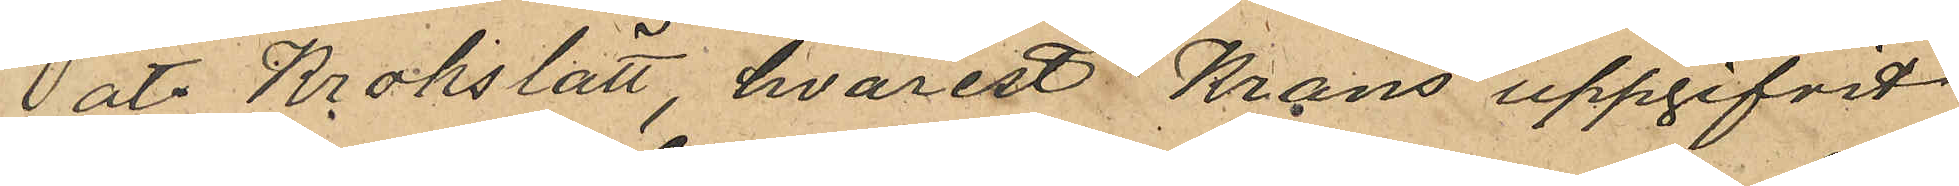åt Krokslätt, hvarest Krans uppgifvit
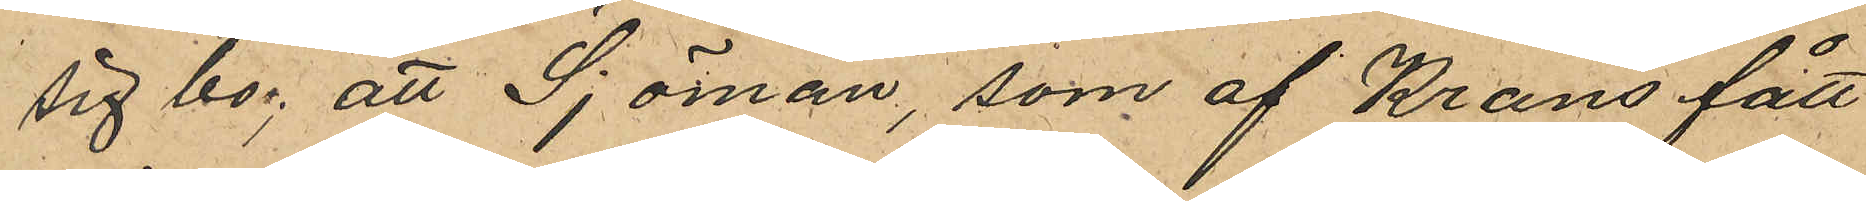sig bo; att Sjöman, som af Krans fått
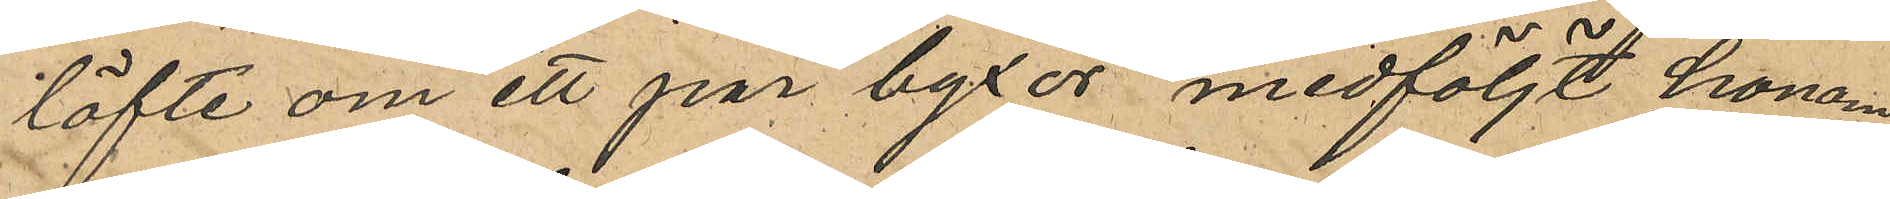löfte om ett par byxor medföljt honom,
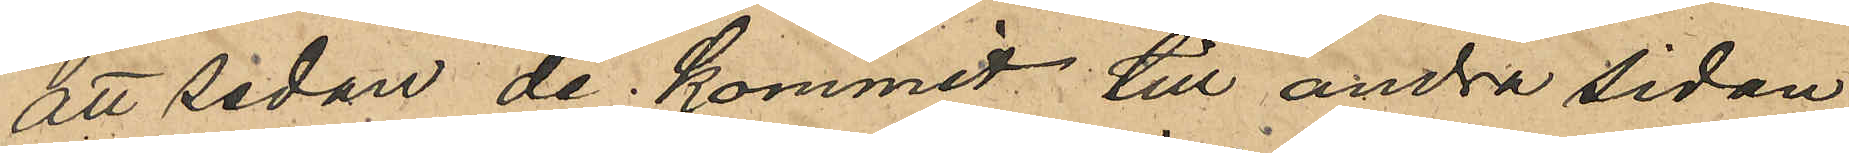att sedan de kommit till andra sidan
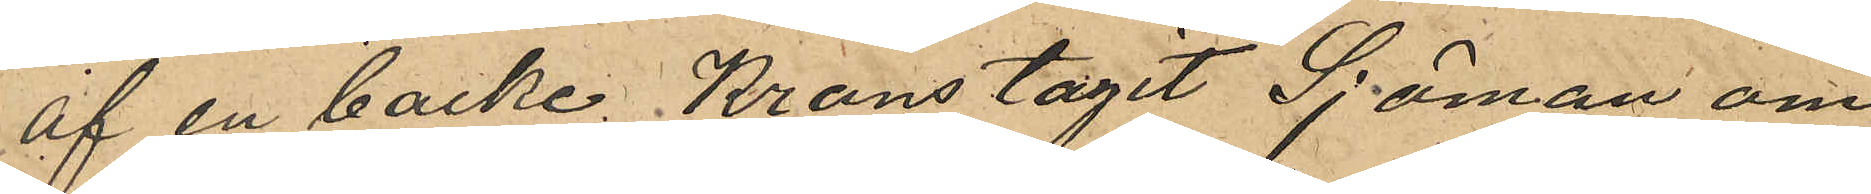af en backe Krans tagit Sjöman om
